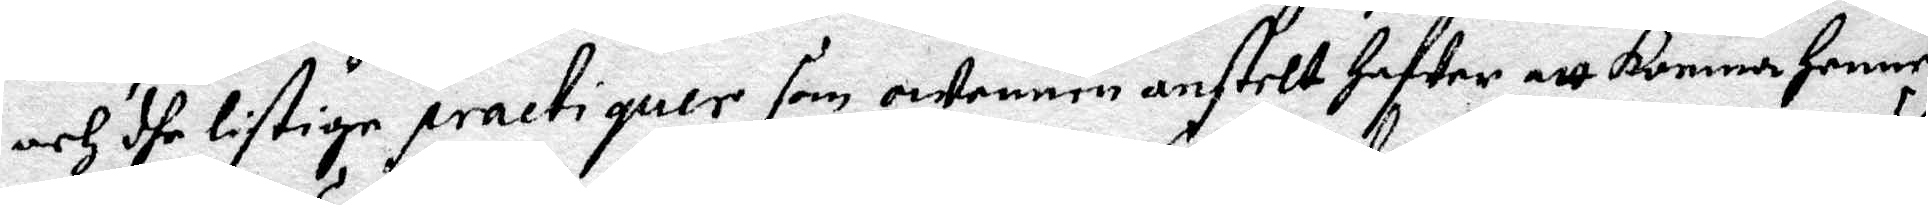och dhe listige practiquer som owennen anstelt hafwer att komma Henne
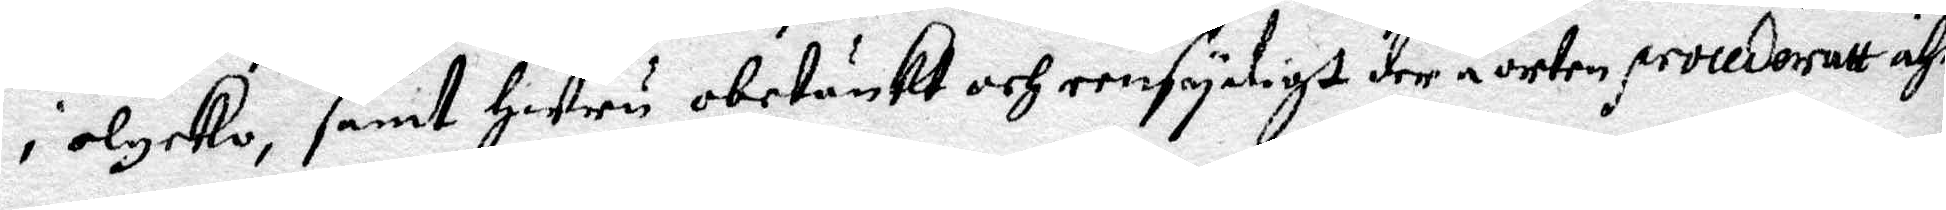i olycko, samt Huru obetänkt och eensydigt der å orten procederatt ähr.
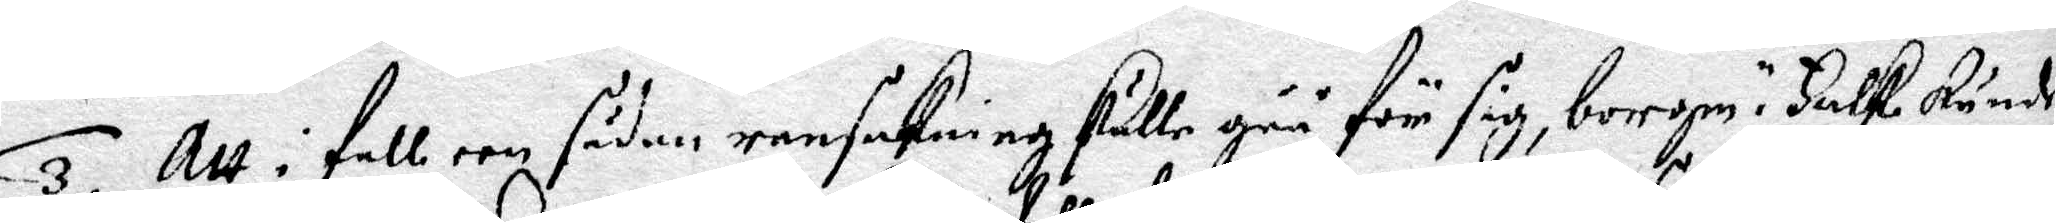3. Att i fall een sådan ransakning skulle gåå för sig, borgm.r Falk kunde
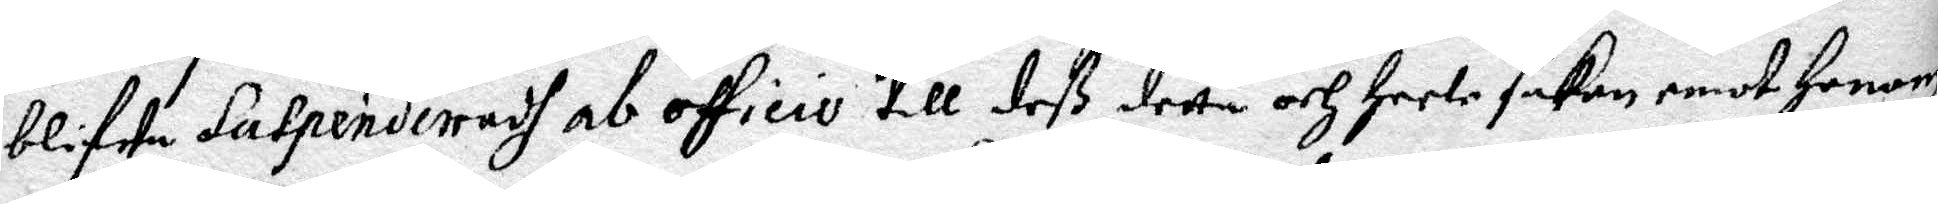blifwa Sutpenderadh ab officio till deß detta och heele saken emot Honom
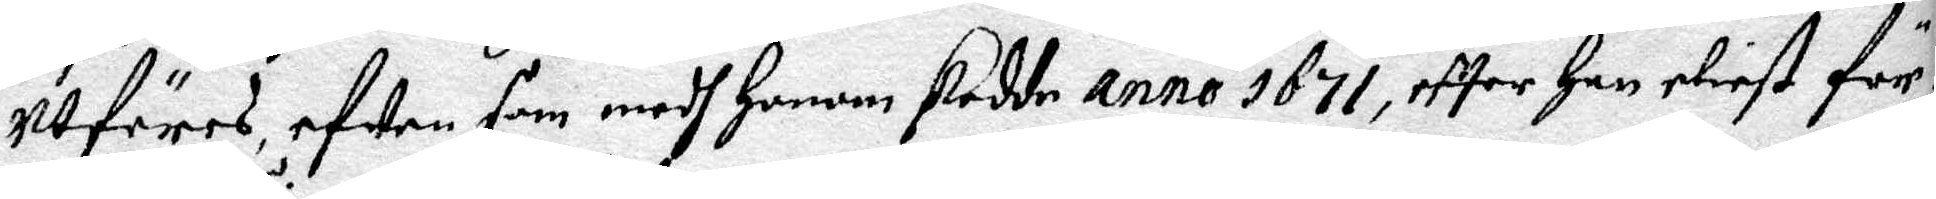utföres, efwen som medh Honom skedde anno 1671, efter Han eliest för¬
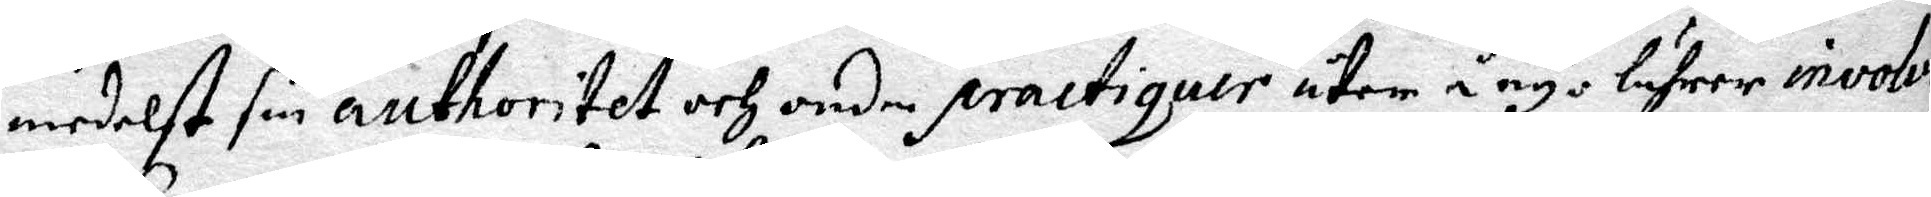medelst sin authoritet och onda practiquer åter å nyo lufrer involve¬
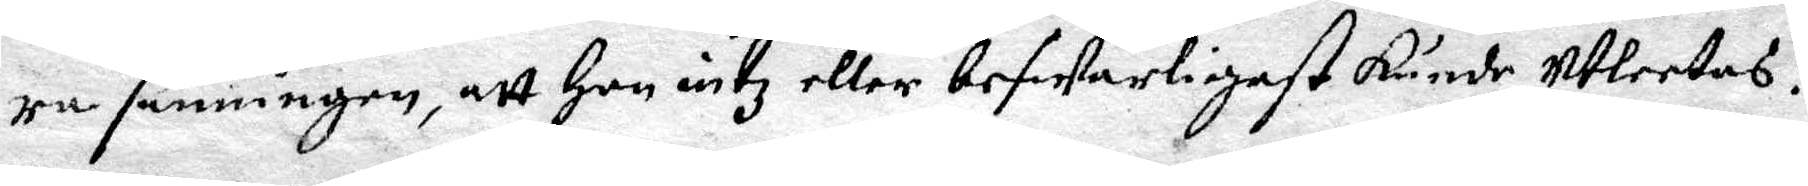ra sanningen, att Han intz eller beswerligast kunde utleetas.
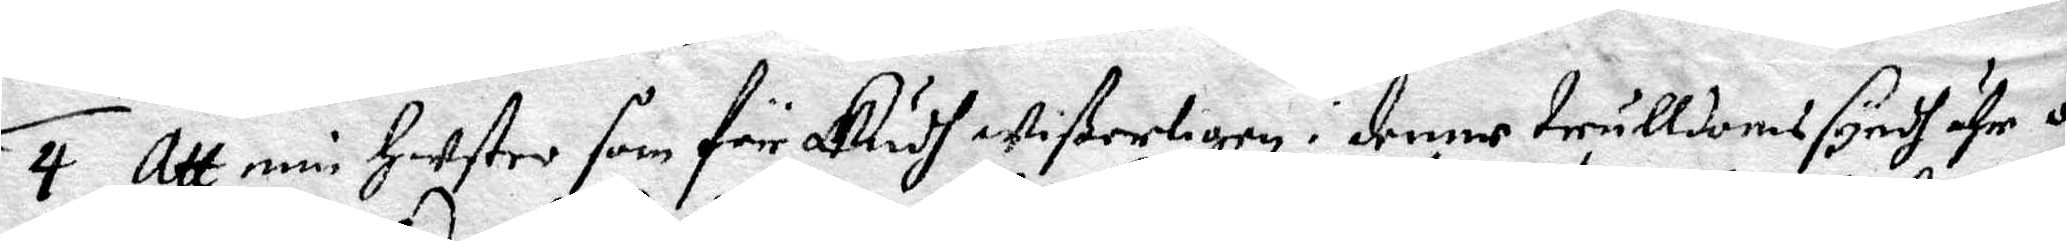4. Att min Hustro som för Gudh wißerligen i denne trulldomssyndh ähr o¬
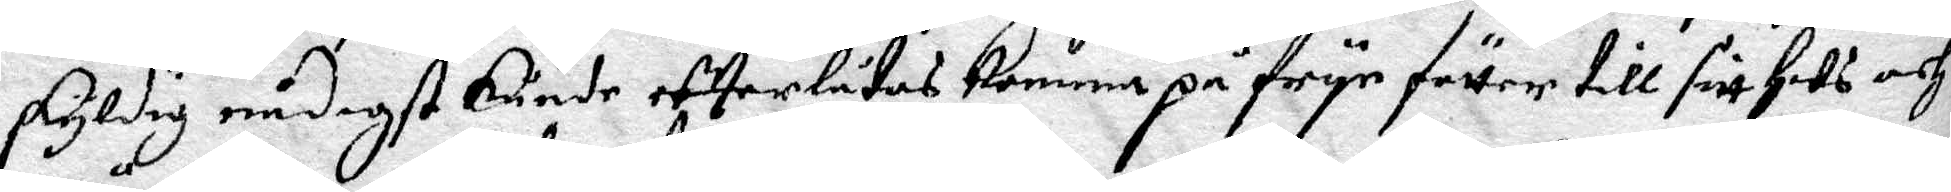skyldig nådigst kunde efterlåtas komma på frye fötter till sitt Hus och
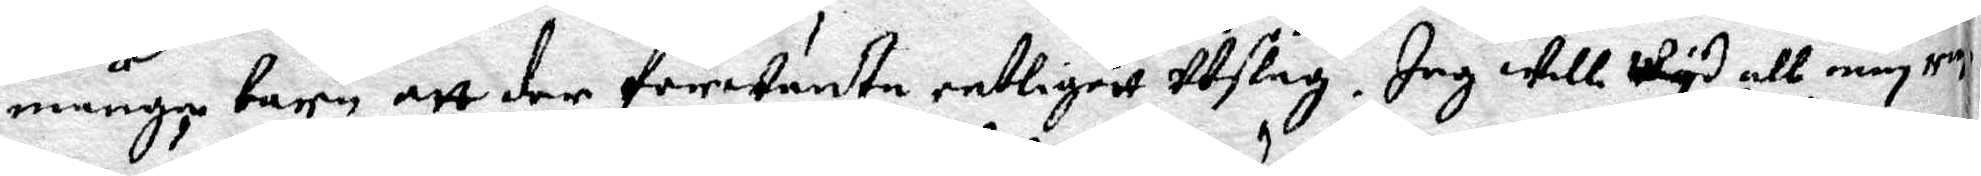många barn att der förwänta entligast utstag. Jag will wyd all min rin¬
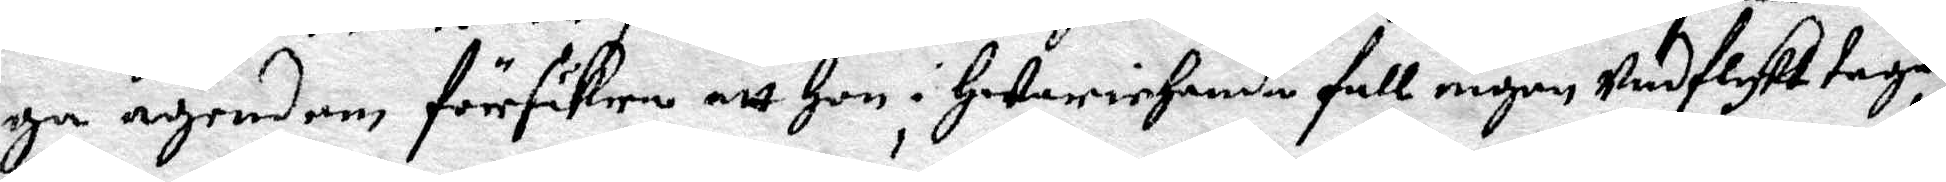ga ägendom försäkra att Hon i Hwariehanda fall någon undflykt tagas
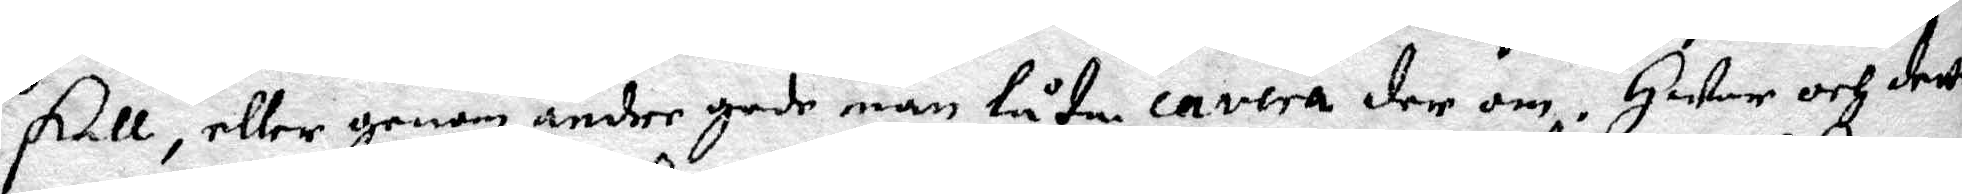skall, eller genom andre gode män låta cavera der om. Hwar och detta
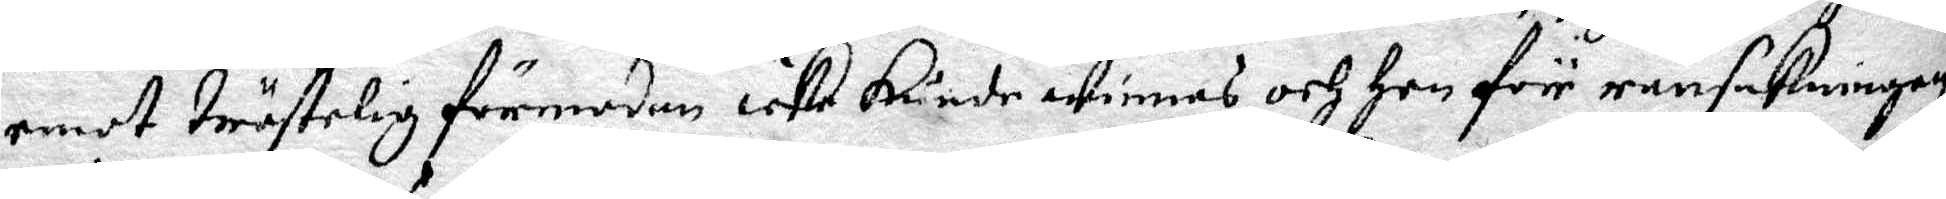emot tröstelig förmodan icke kunde winnas och Hon för ransakningen
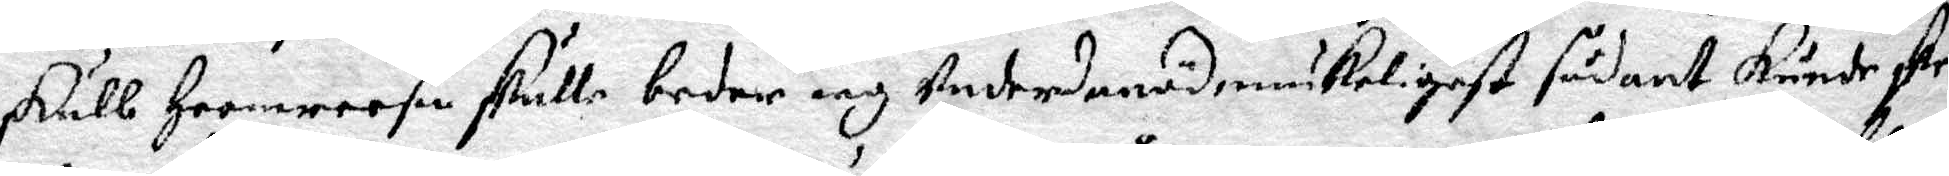skull Heemreesa skulle beder iag underdånödmiukeligast sådant kunde dkee
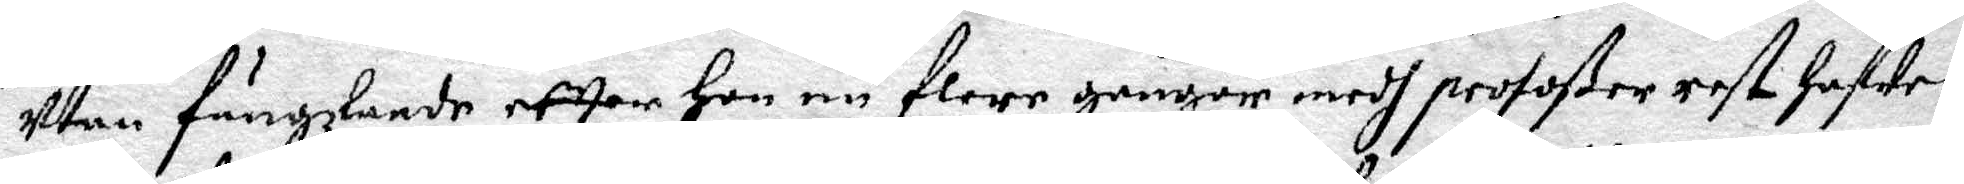utan fängzlande efter Hon nu flere gånger medh profoßer rest Hafwer,
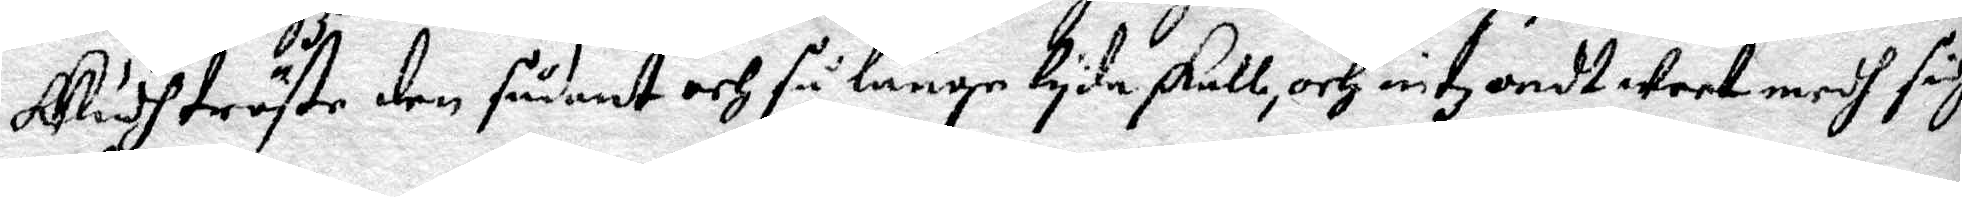Gudh tröste den sådant och så länge lyda sakll, och intz  ondt weet medh sig.
